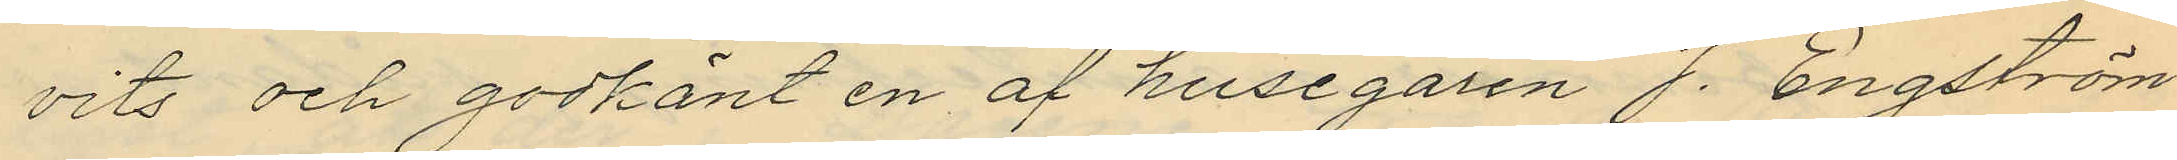vits och godkänt en af husegaren J. Engström
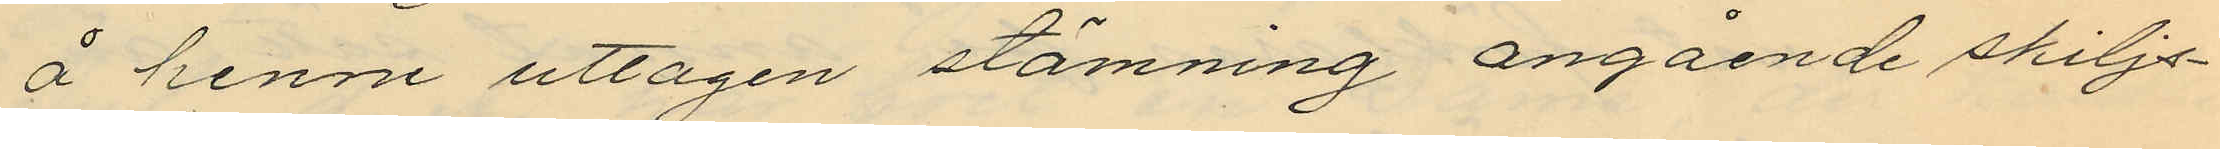å henne uttagen stämning angående skiljs¬
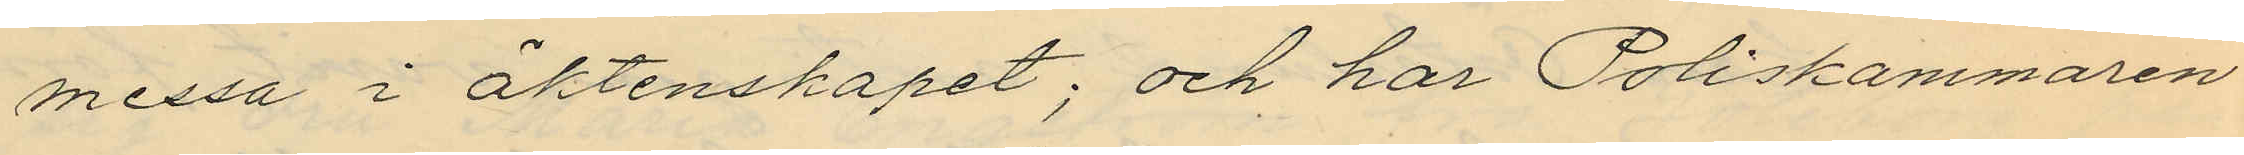messa i äktenskapet; och har Poliskammaren
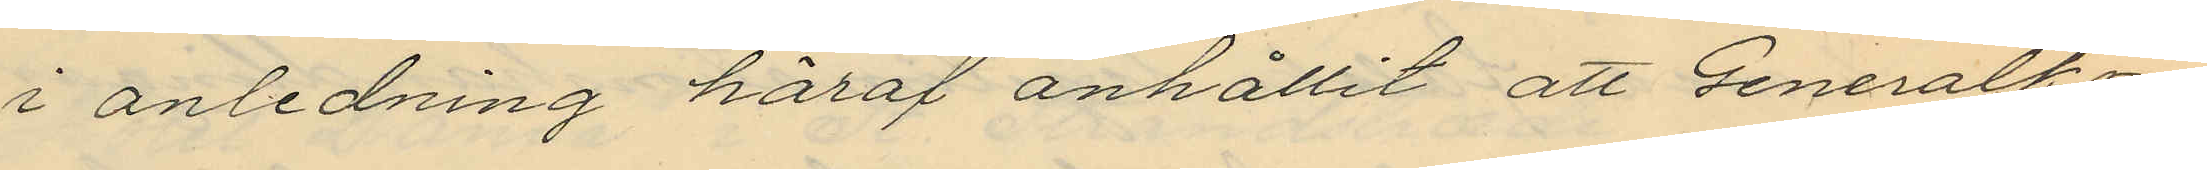i anledning häraf anhållit att Generalkon¬
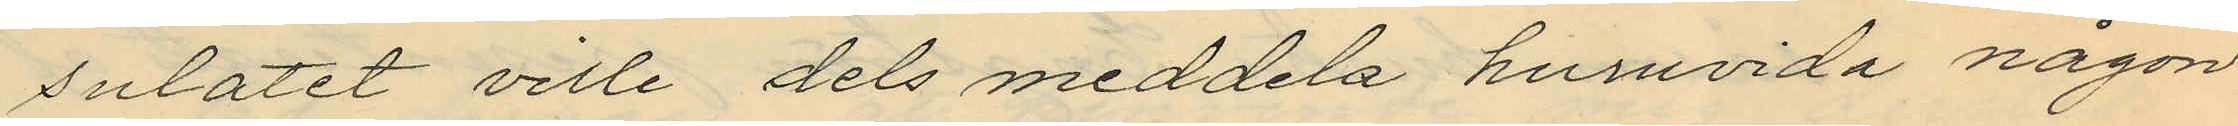sulatet ville dels meddela huruvida någon
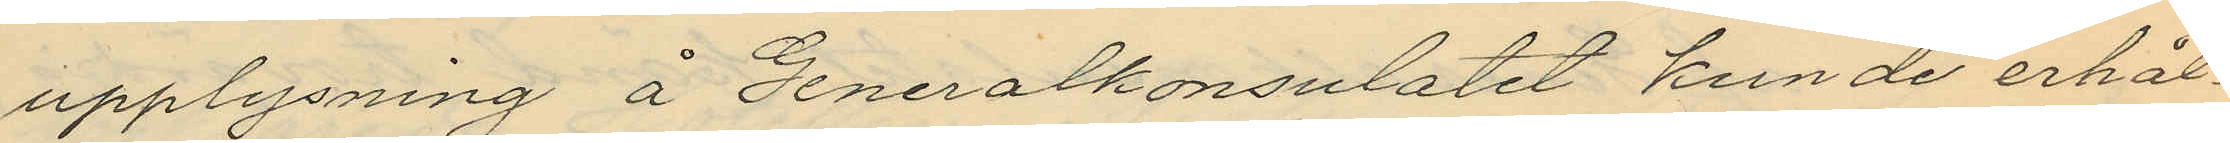upplysning å Generalkonsulatet kunde erhål¬
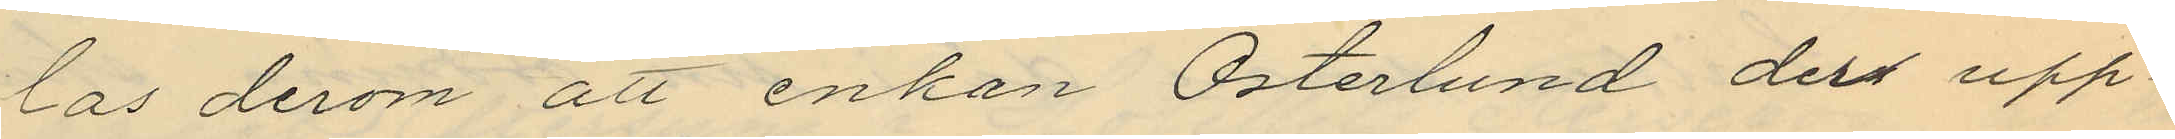las derom att enkan Österlund dels upp¬
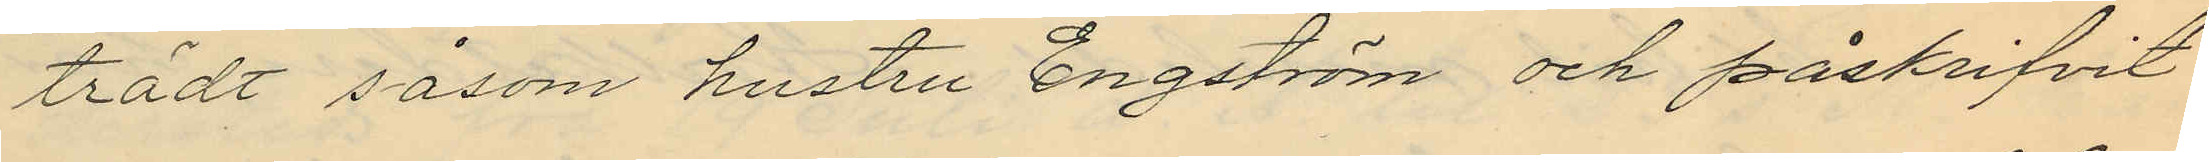trädt såsom hustru Engström och påskrifvit
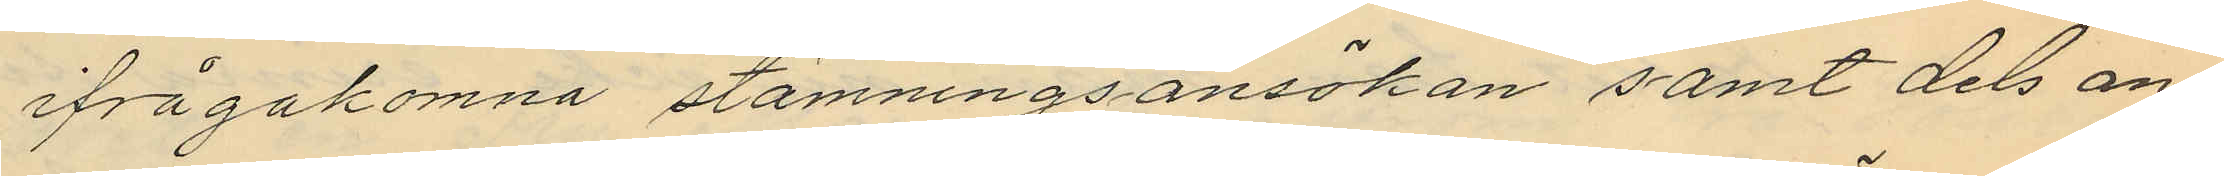ifrågakomna stämningsansökan samt dels an¬
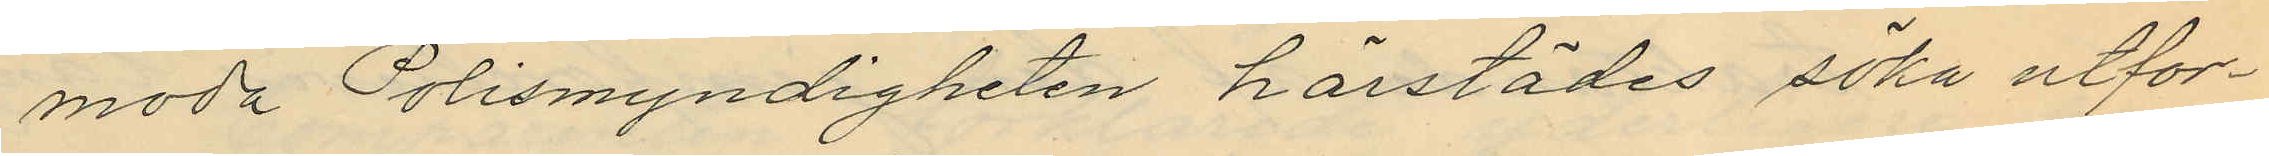moda Polismyndigheten härstädes söka utfor¬
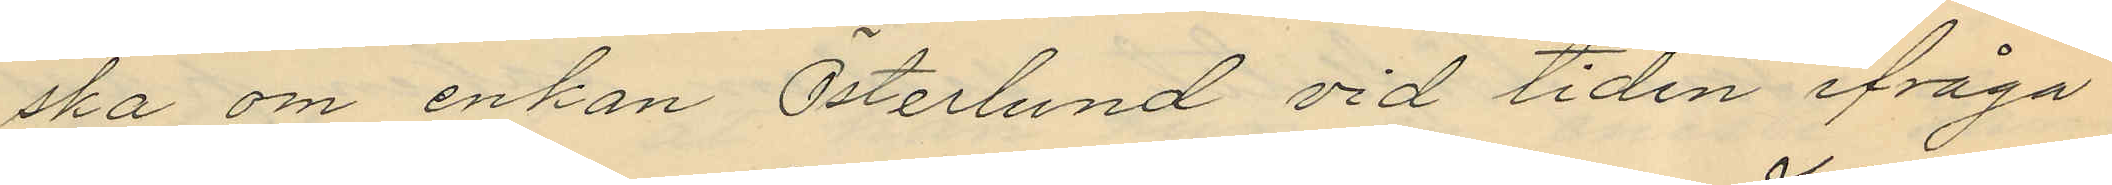ska om enkan Österlund vid tiden ifråga
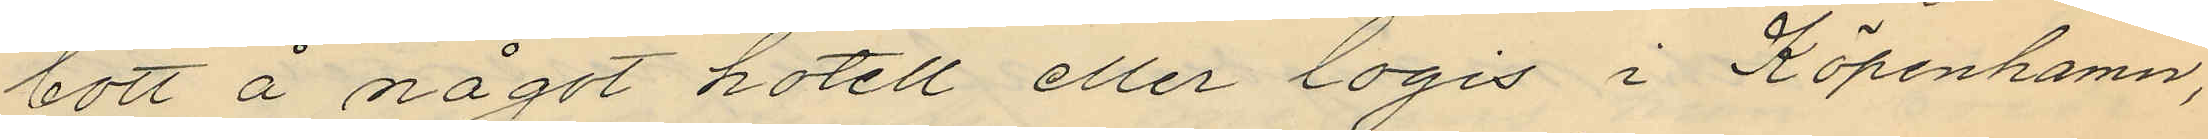bott å något hotell eller logis i Köpenhamn,
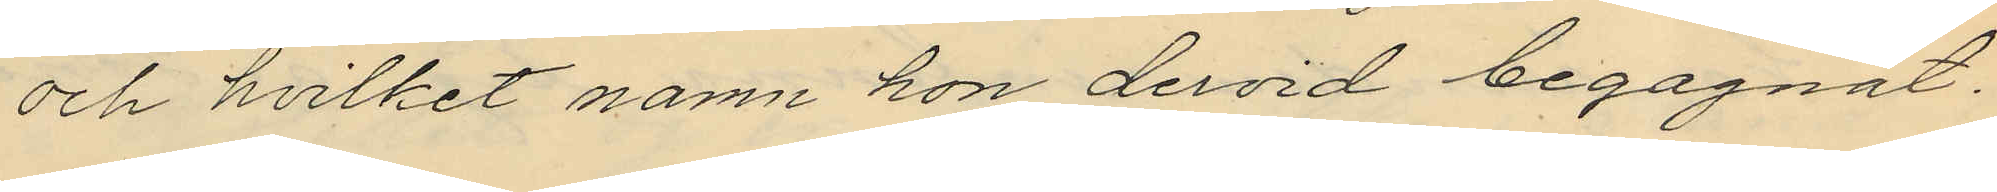och hvilket namn hon dervid begagnat.
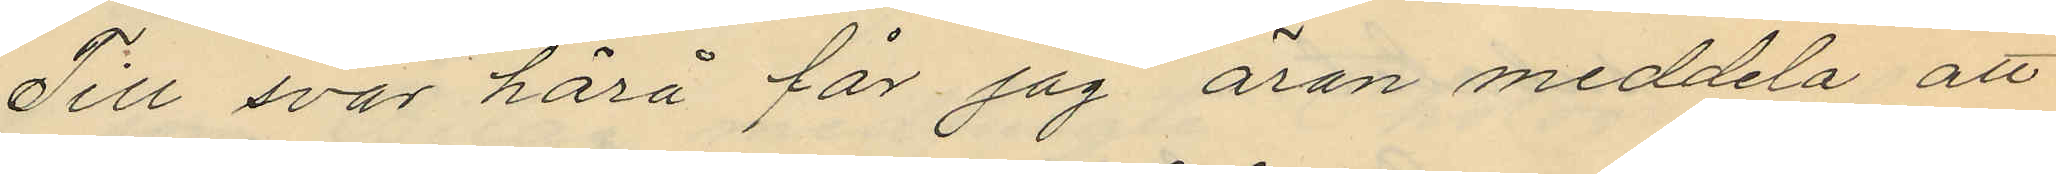Till svar härå får jag äran meddela att
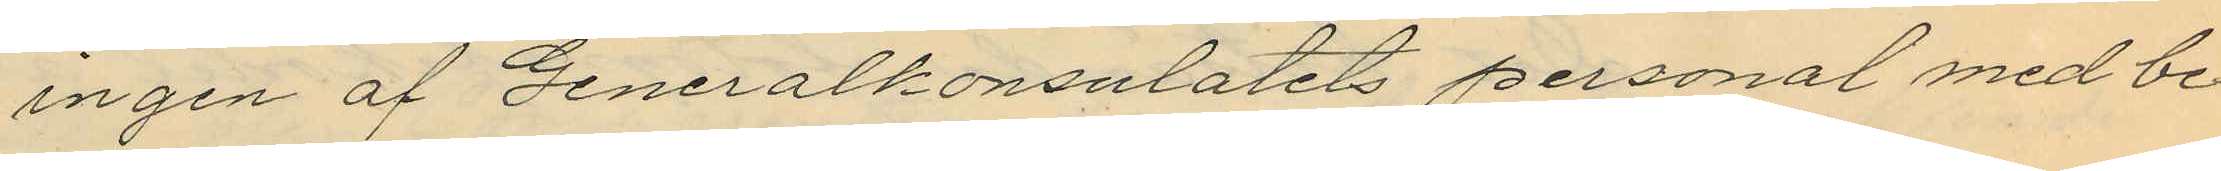ingen af Generalkonsulatets personal med be¬
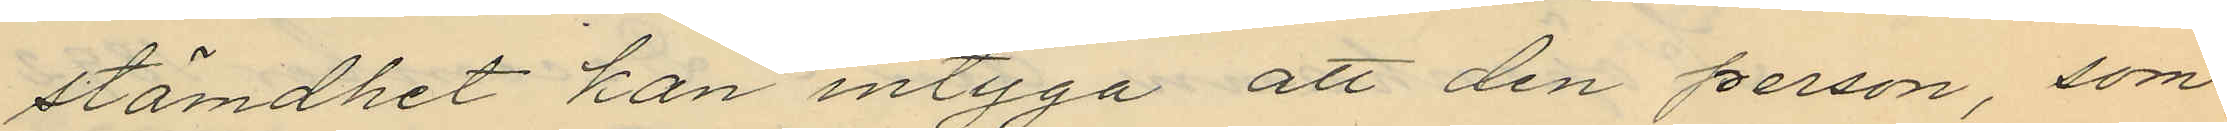stämdhet kan intyga att den person, som
